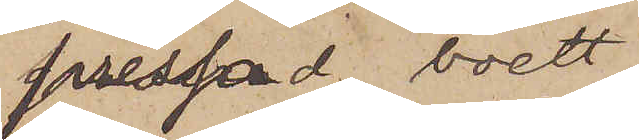pressad boett
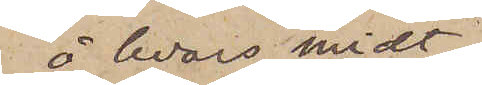å hvars midt
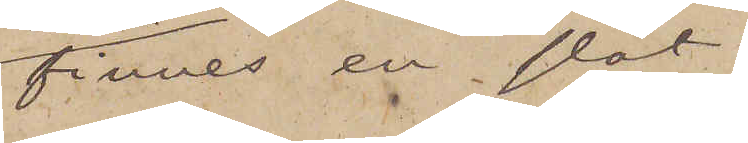finnes en slät
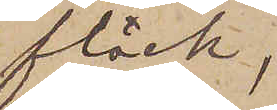fläck,
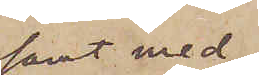samt med
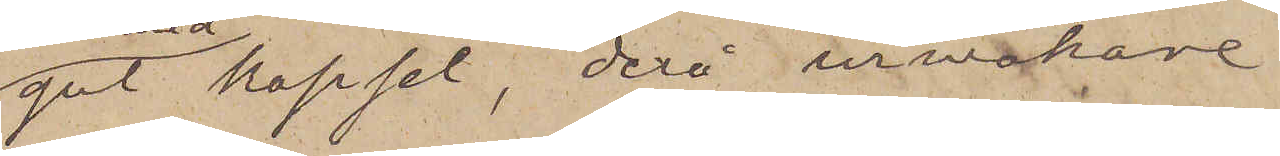gul kapsel, derå urmakare
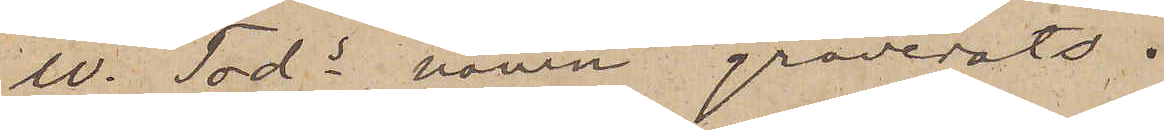W. Tods namn graverats.
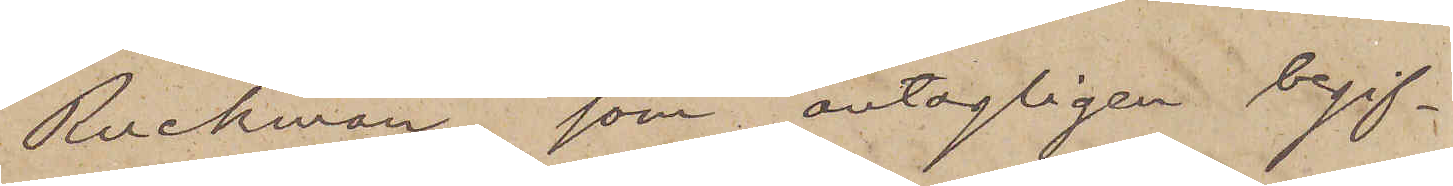Ruckman, som antagligen begif¬
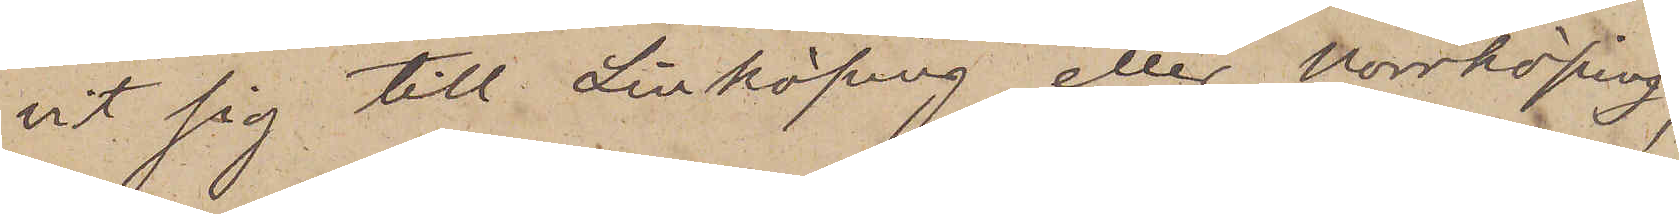vit sig till Linköping eller Norrköping,
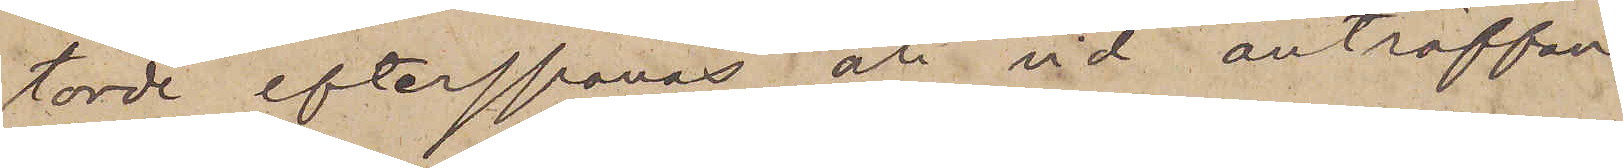torde efterspanas och vid anträffan¬
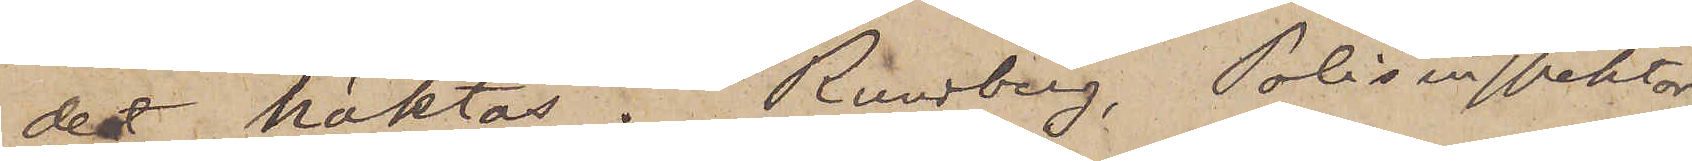det häktas. Rundberg Polisinspektor.
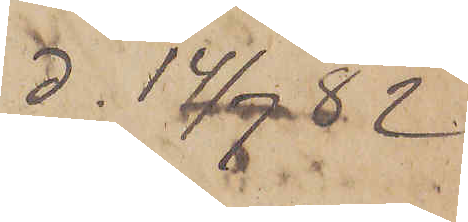d. 14/7  82
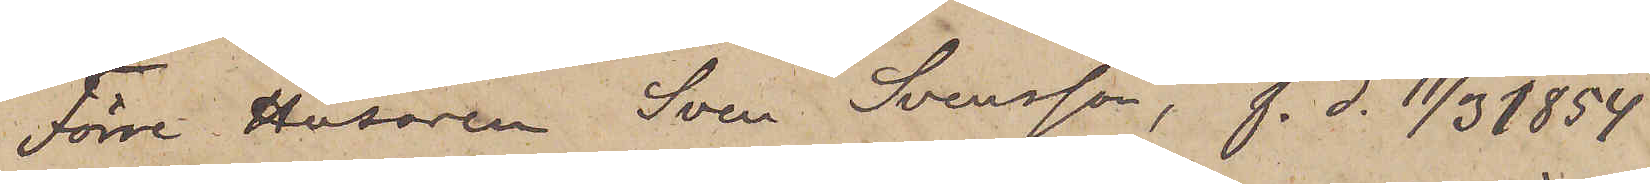Förre Husaren Sven Svensson, f. d. 11/3 1854
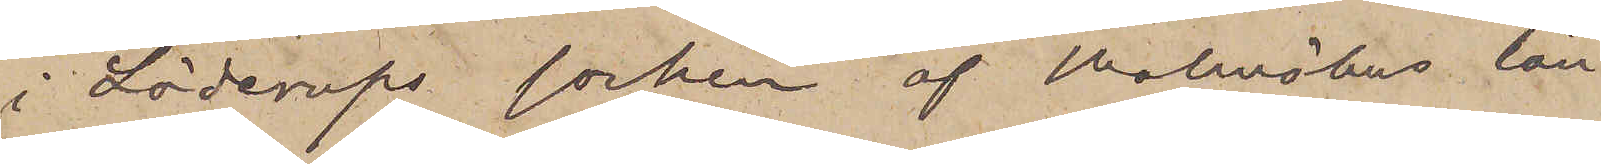i Löderups socken af Malmöhus län
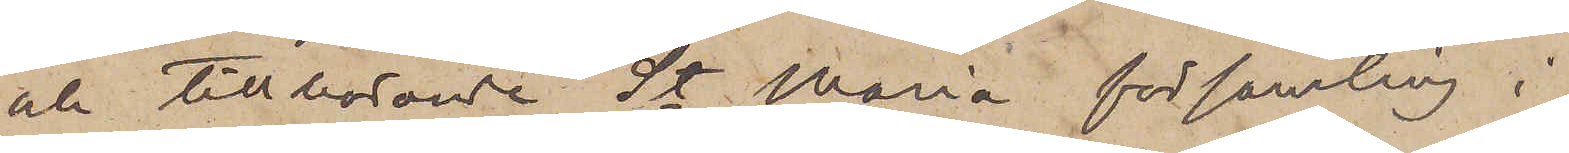och tillhörande St. Maria församling i
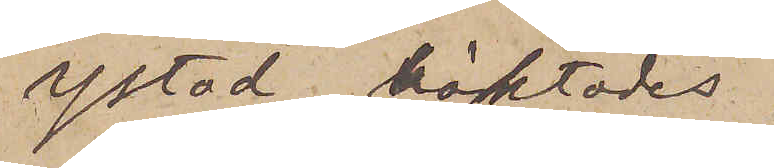Ystad, häktades
